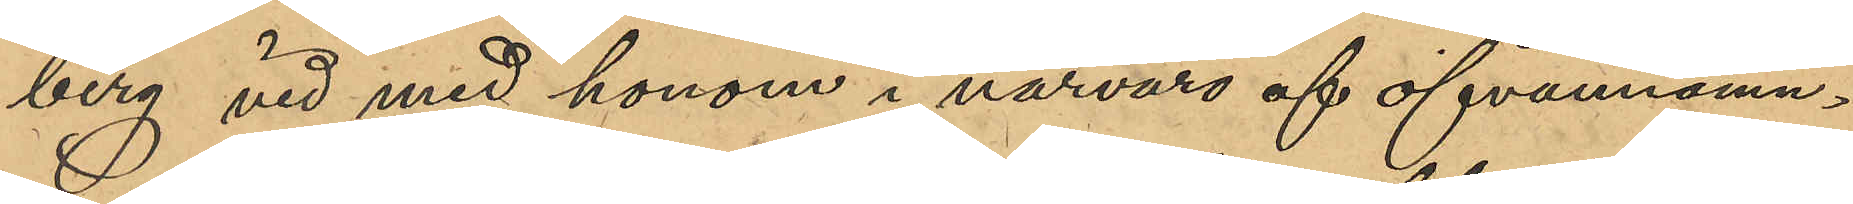berg vid med honom i närvaro af ofvannämn¬
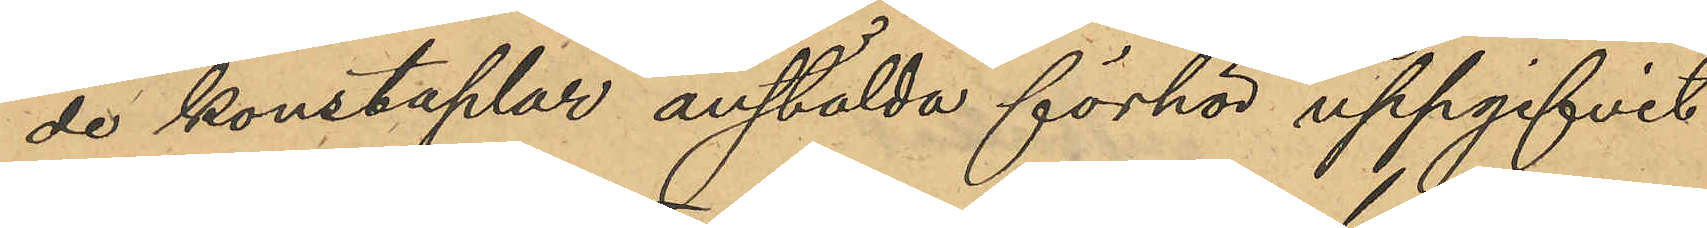de konstaplar anställda förhör uppgifvit
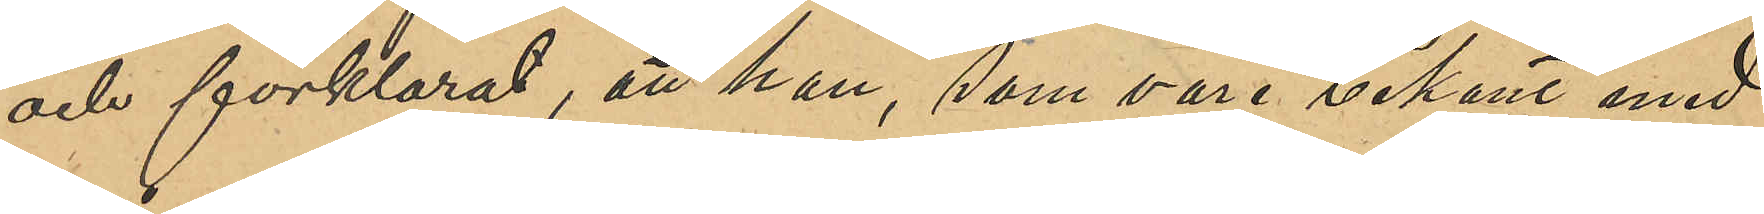och förklarat, att han, som vore bekant med
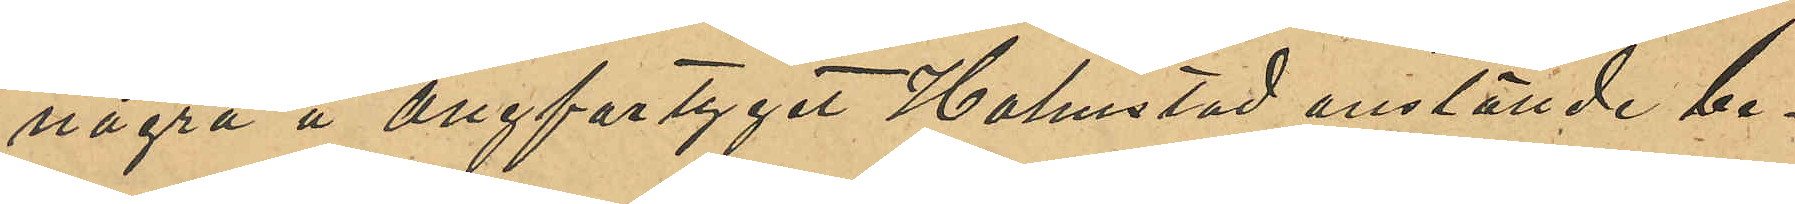några å ångfartyget Halmstad anstälde be¬
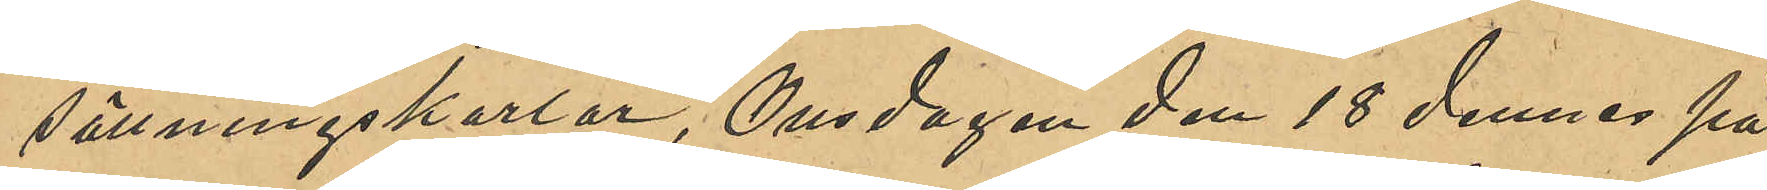sättningskarlar, Onsdagen den 18 dennes på
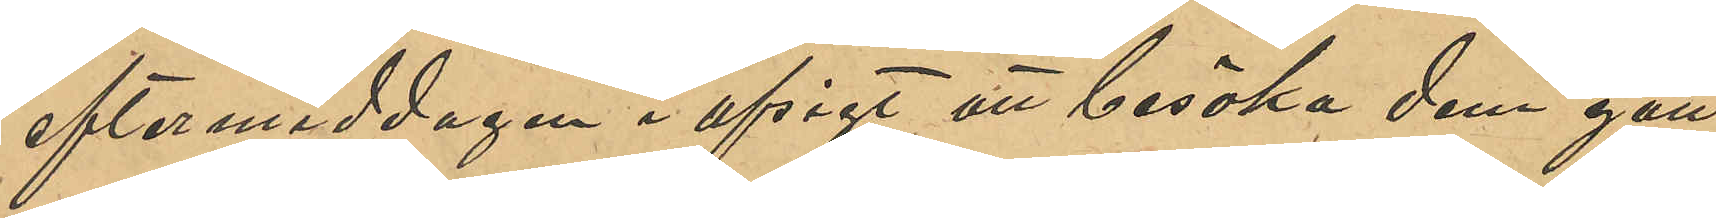eftermiddagen i afsigt att besöka dem gått
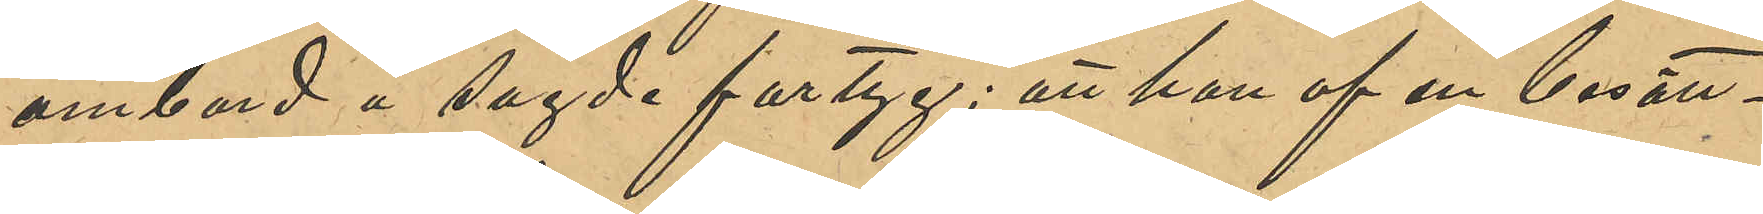ombord å sagde fartyg; att han af en besätt¬
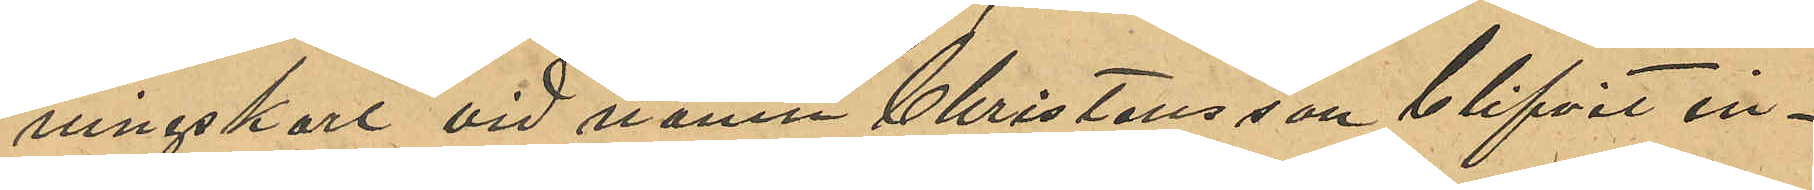ningskarl vid namn Christensson blifvit in¬
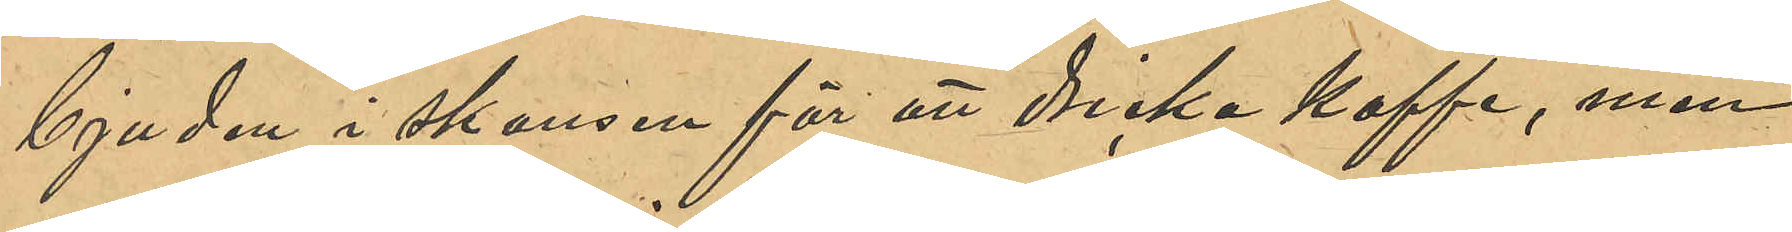bjuden i skansen för att dricka kaffe, men
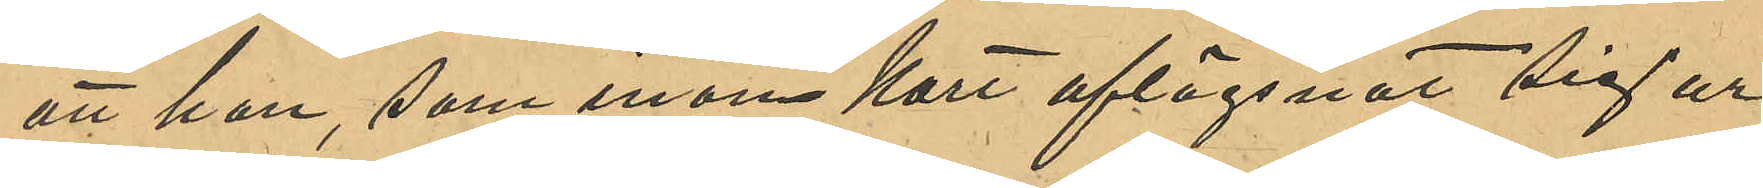att han, som inom kort aflägsnats sig ur
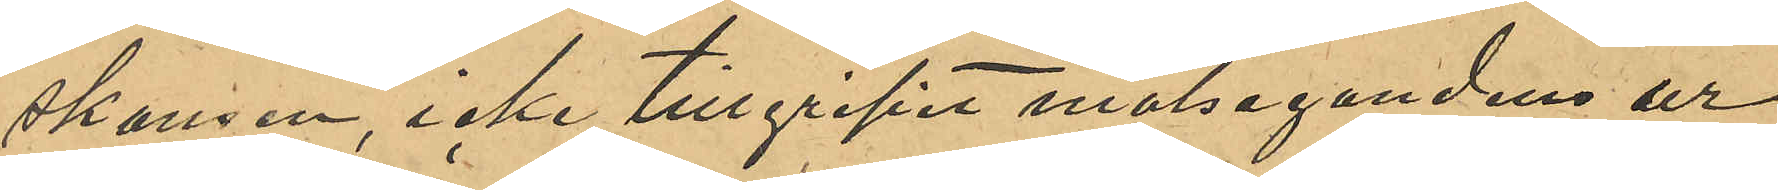skansen, icke tillgripit målsegandens ur
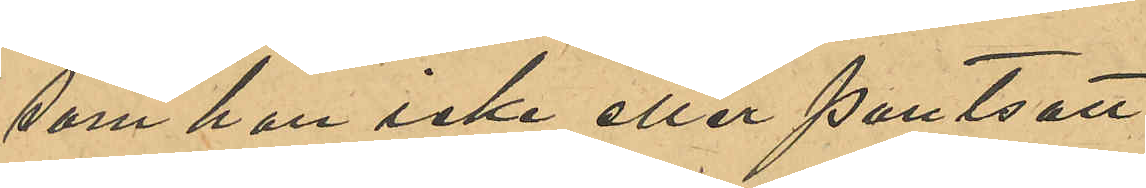som han icke eller pantsatt.
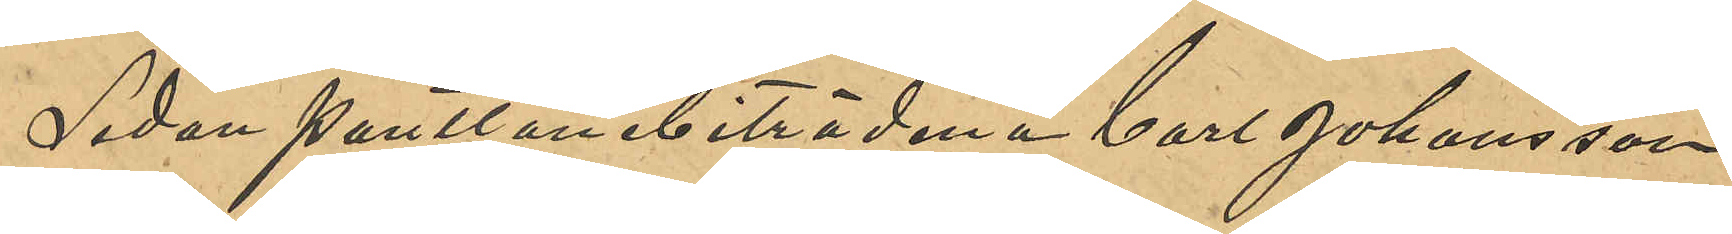Sedan pantlånebiträdena Carl Johansson
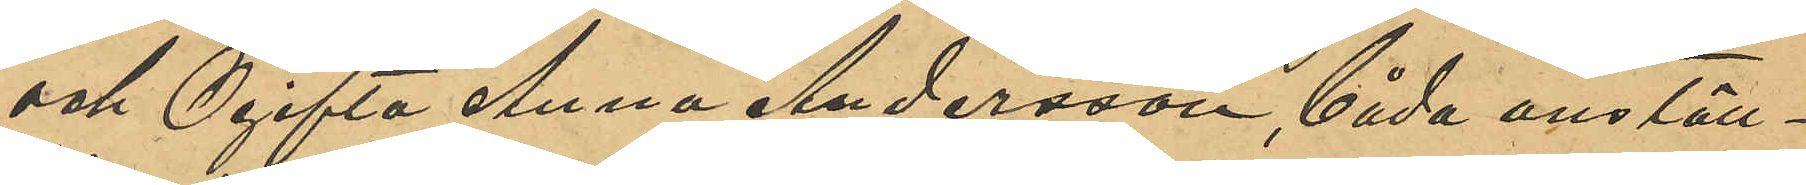och Ogifta Anna Andersson, båda anställ¬
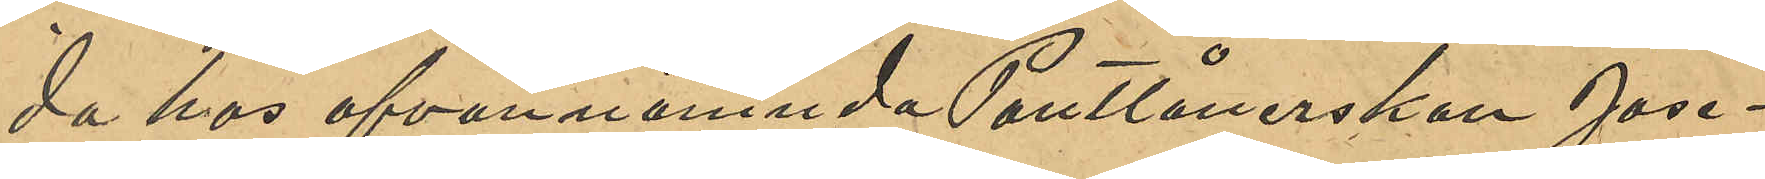da hos ofvannämnda Pantlånerskan Jose¬
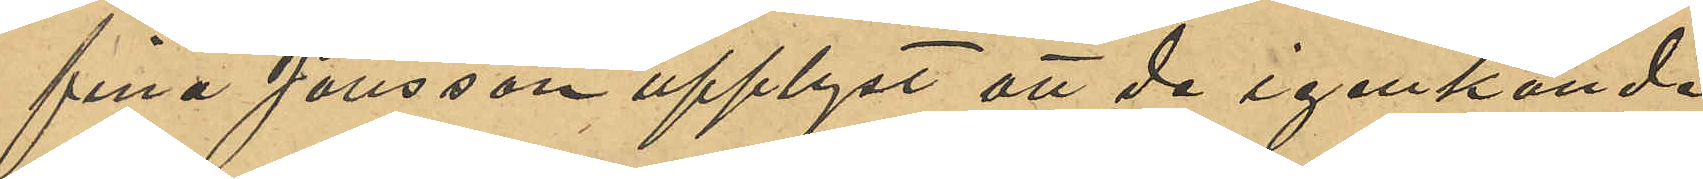fina Jonsson upplyst att de igenkände
